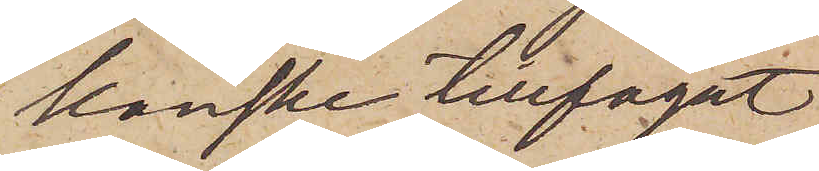kanske tillfogat
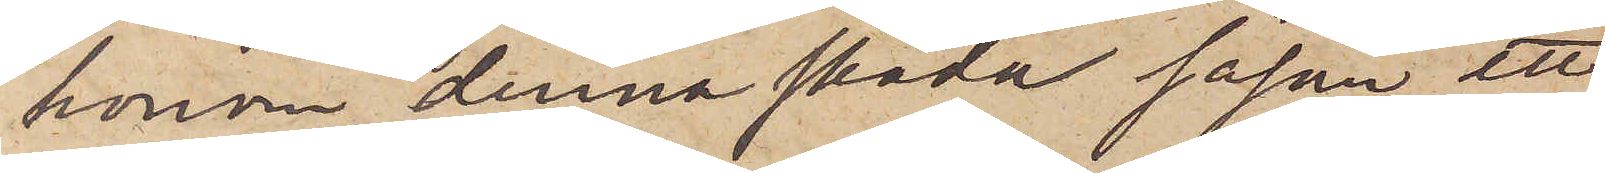honom denna skada såson ett
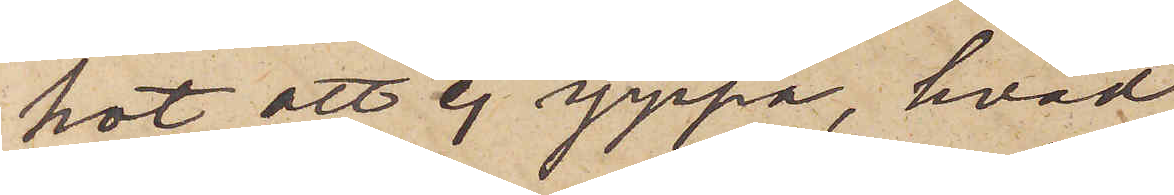hot att ej yppa, hvad
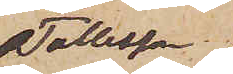Tollesson
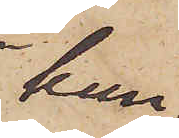kun¬
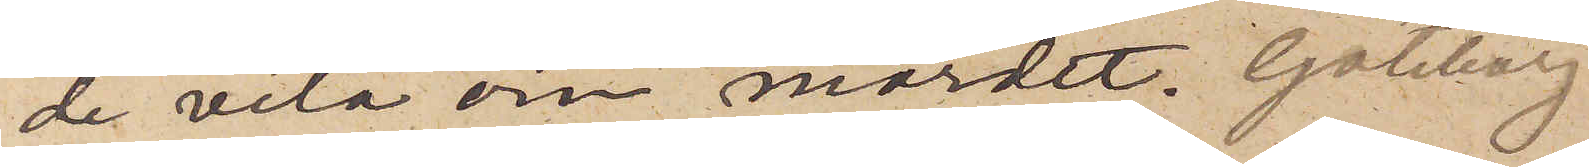de veta om mordet. Göteborg
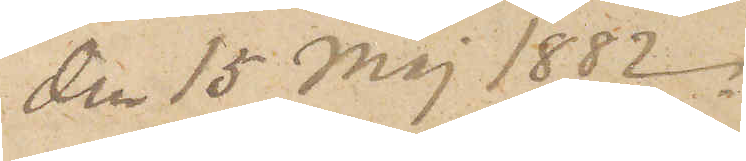den 15 Maj 1882.
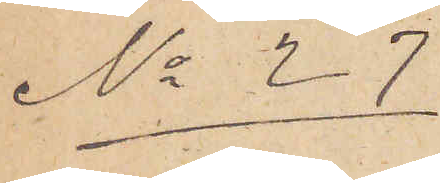No 27
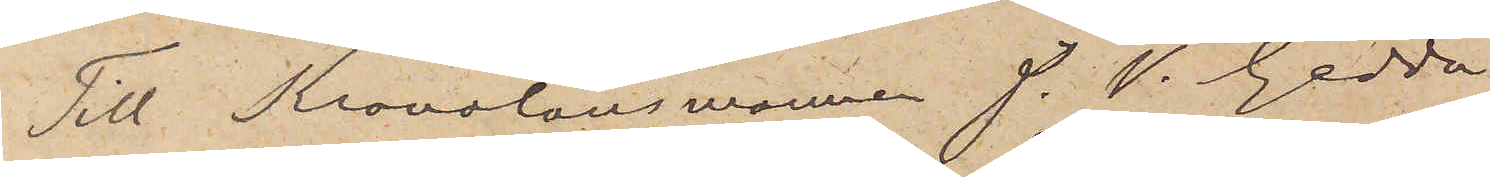Till Kronolänsmannen J. W. Gedda
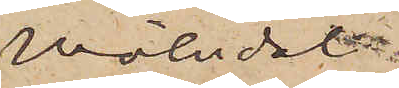Mölndal
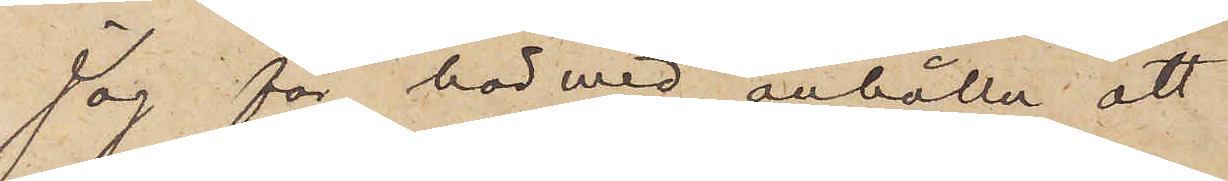Jag får härmed anhålla att
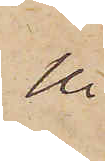Ni
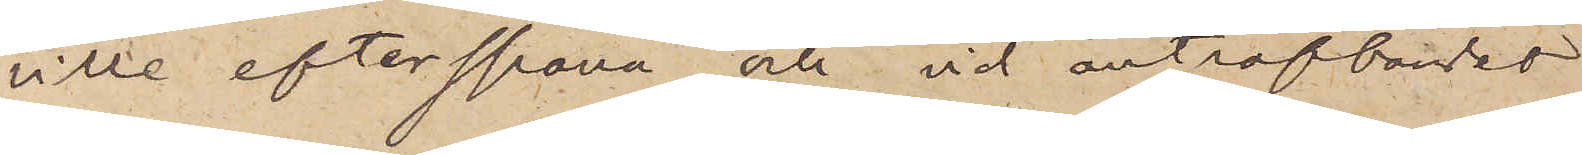ville efterspana och vid anträffandet
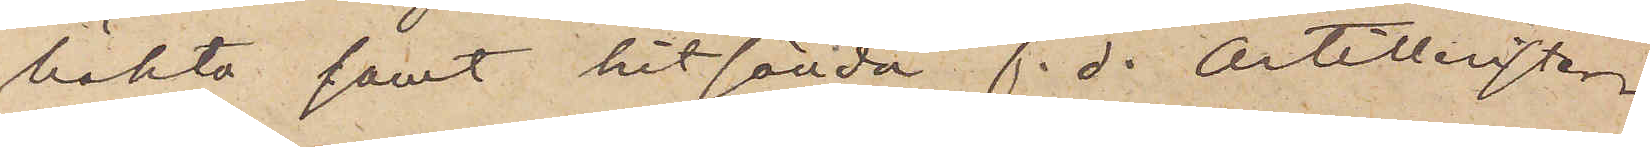häkta samt hitsända f. d. Artilleristen
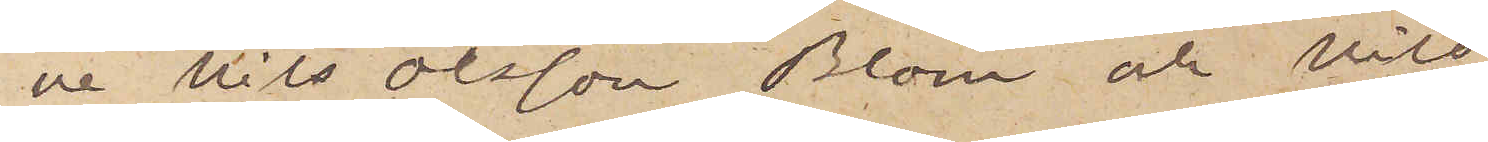 Nils Olsson Blom och Nils
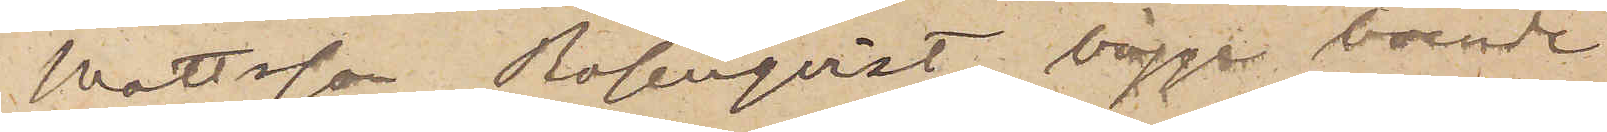Mattsson Rosenqvist, bägge boende
